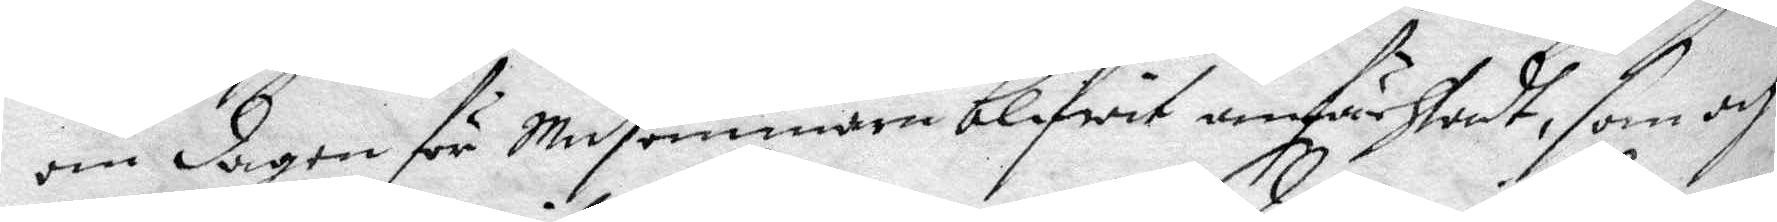om dagen för Midsommarn blifwit anfächtadt, som och
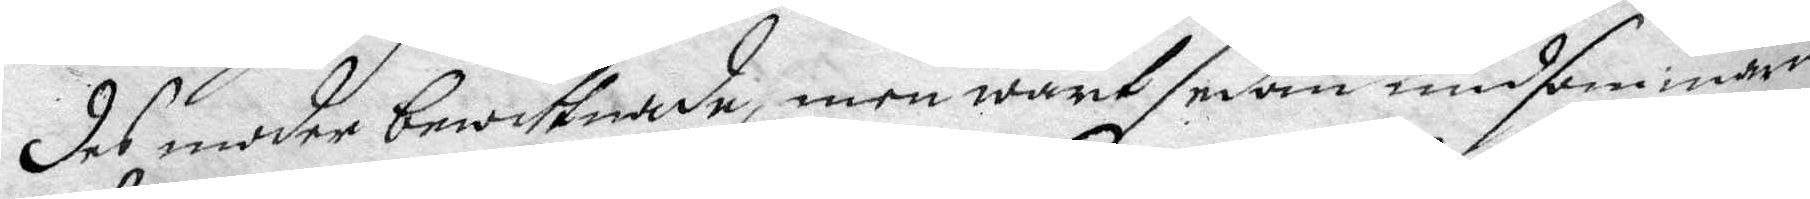des moder bewittnade, men warit sedan midsommar
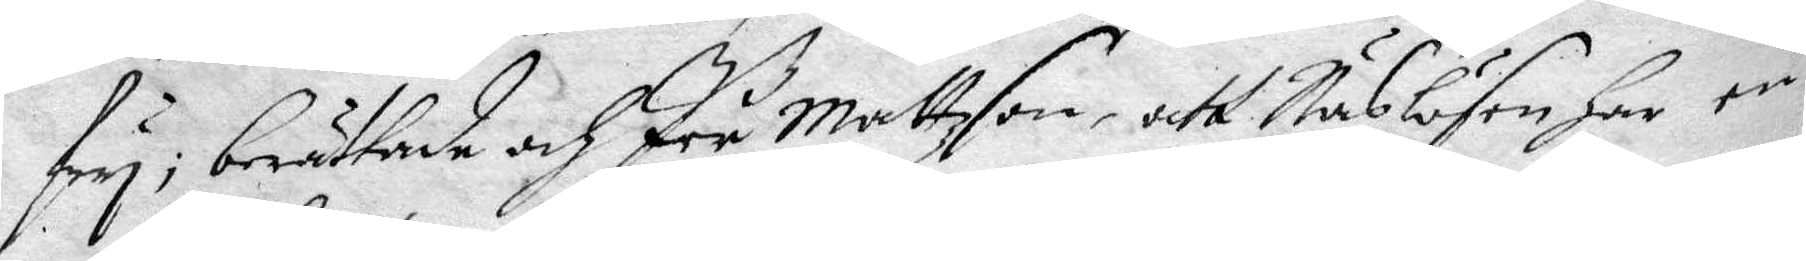fry; berättade och Per Mattzson, att Näslösen har en
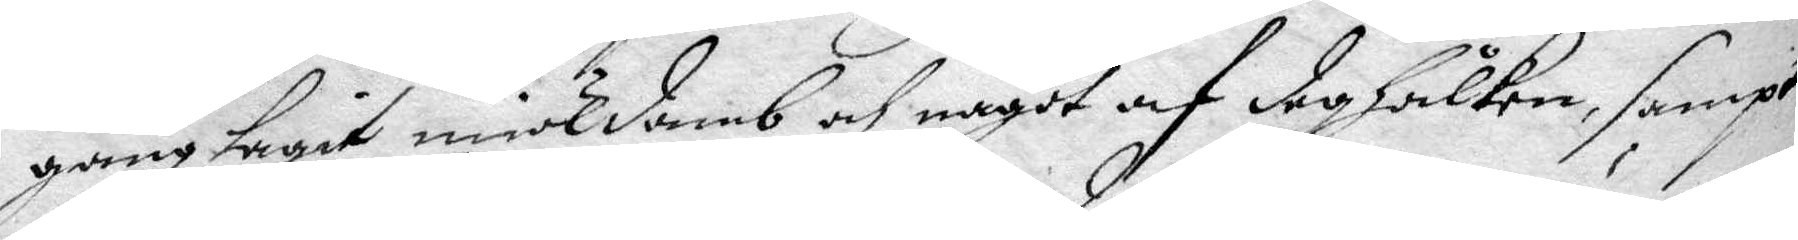gång tagit miöldamb och något af deghålken, sampt
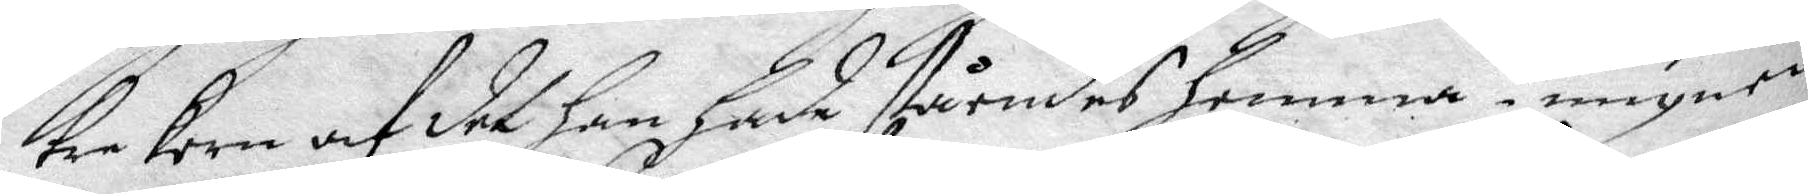tre korn af det han hade ståendes hemma i ungnen
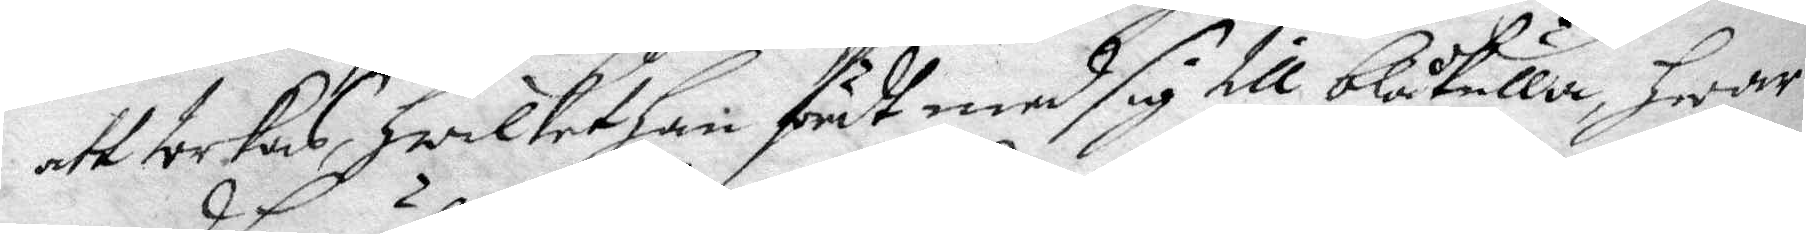att torkas, hwilket han fördt med sig till blåkulla hwar
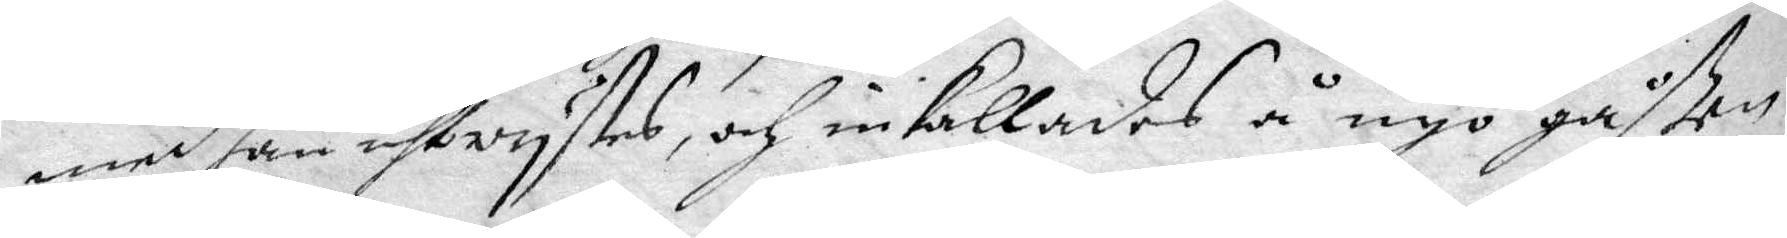med han uhtwystes, och inkallades å nyo gåßen
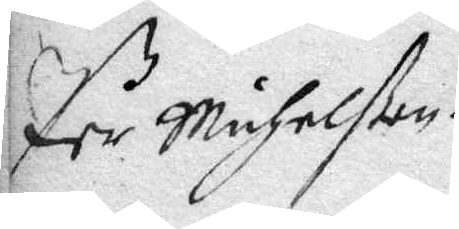Per Michelßon.
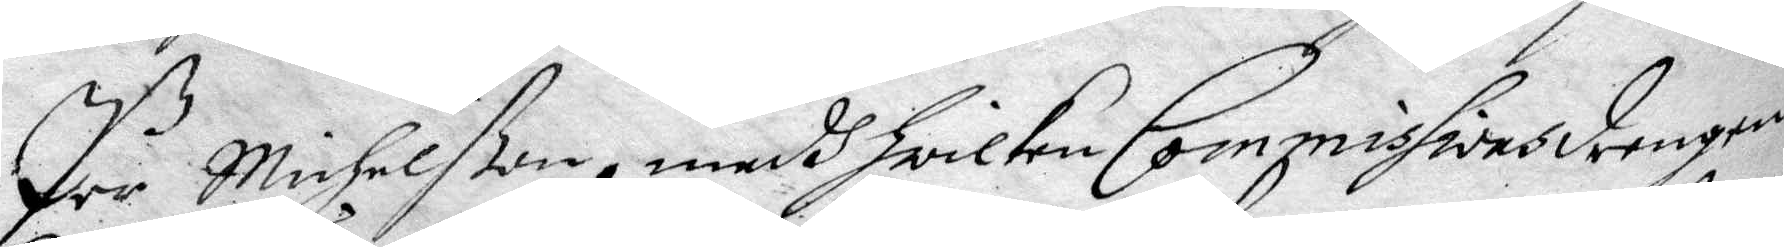Per Michelßon, medh hwilken Commissorial drengen
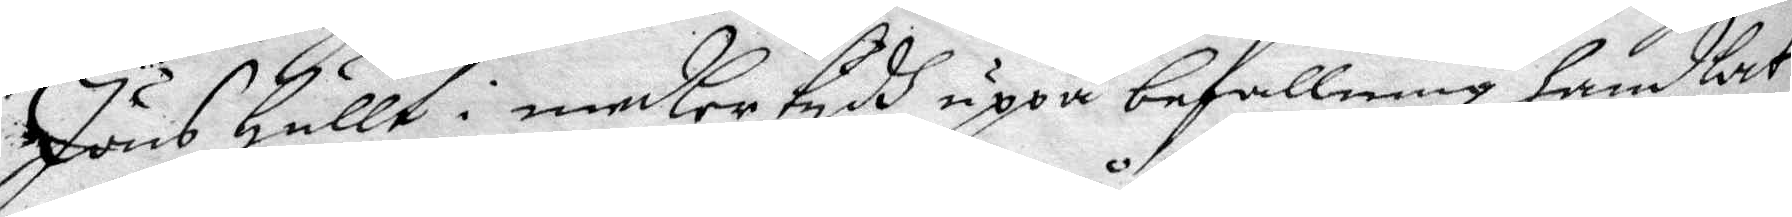Jöns Hullt i medletyd uppå befallning handlat
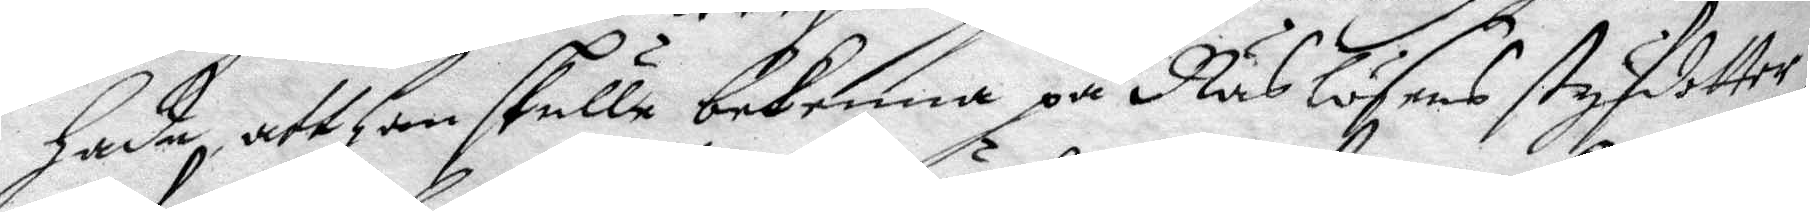hade att han skulle bekenna på Näslösens styfdotter
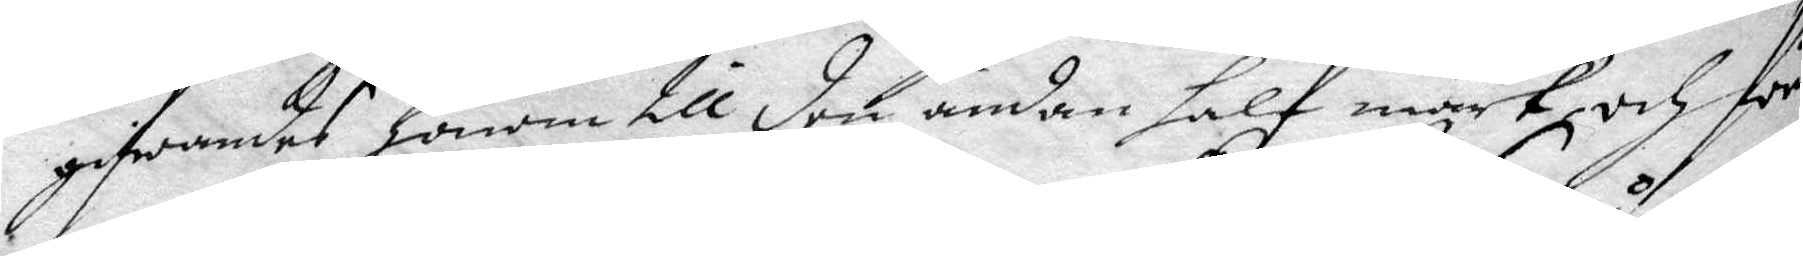gifwandes honom till den ändan half mark, och för¬
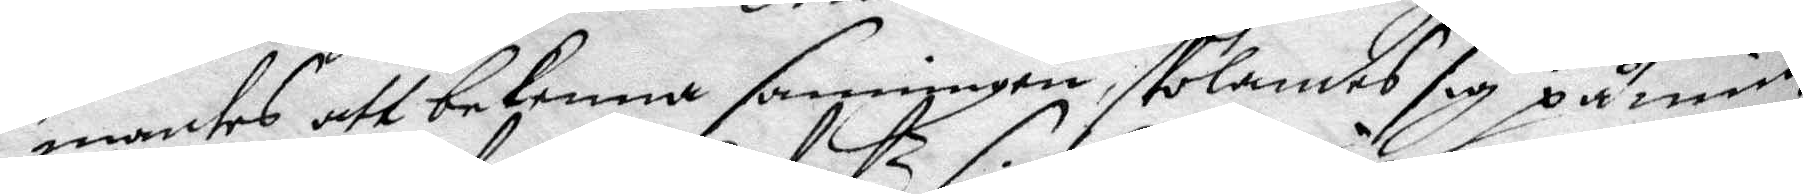mantes att bekenna sanningen, skolandes sig påmin¬
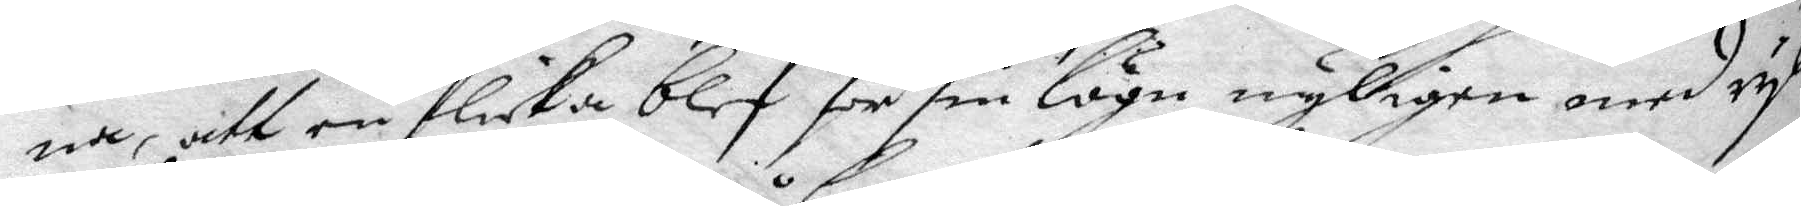na, att en flicka blef för sin lögn nyligen med rys
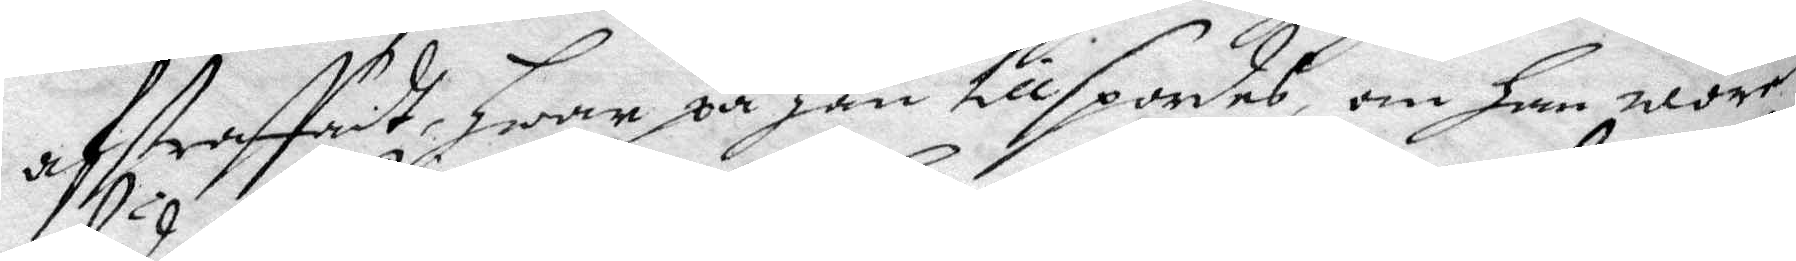afstraffadt, hwar på han tillspordes om han wore
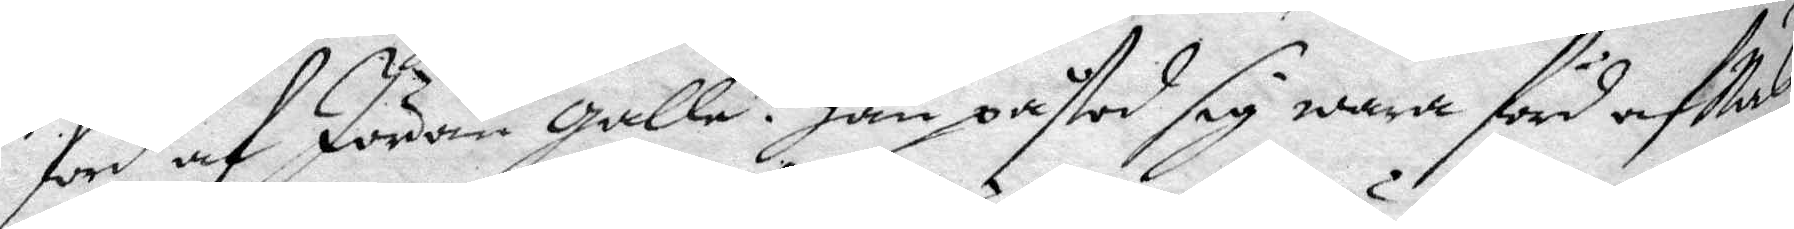förd af Jöran Galle? han påstod sig wara förd af Näs¬
